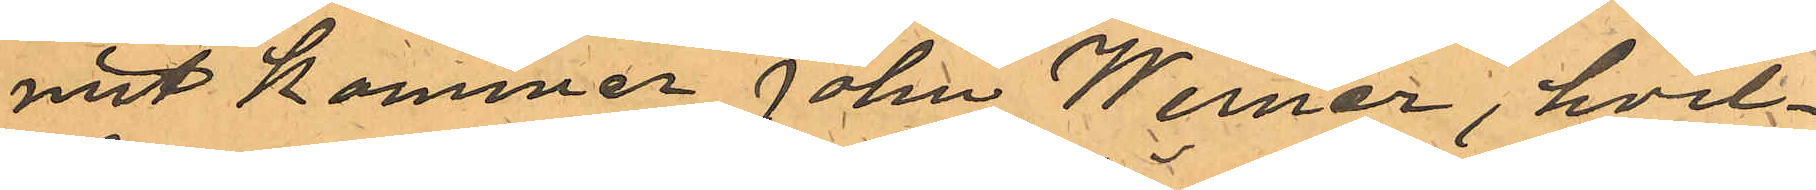mit kommer John Werner, hvil¬
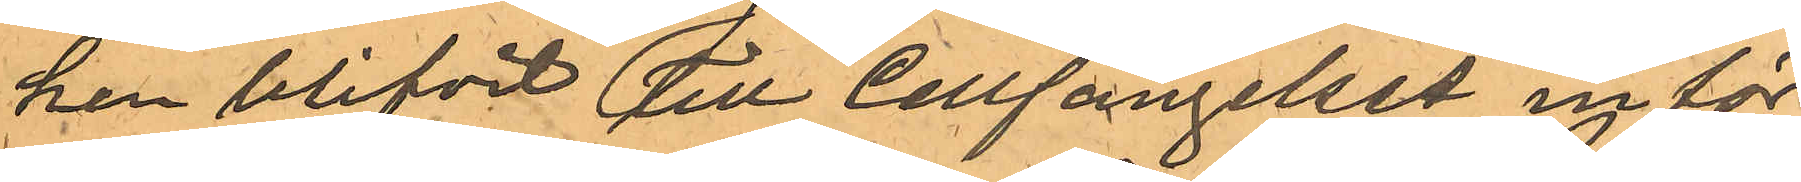ken blifvit till Cellfängelset inför¬
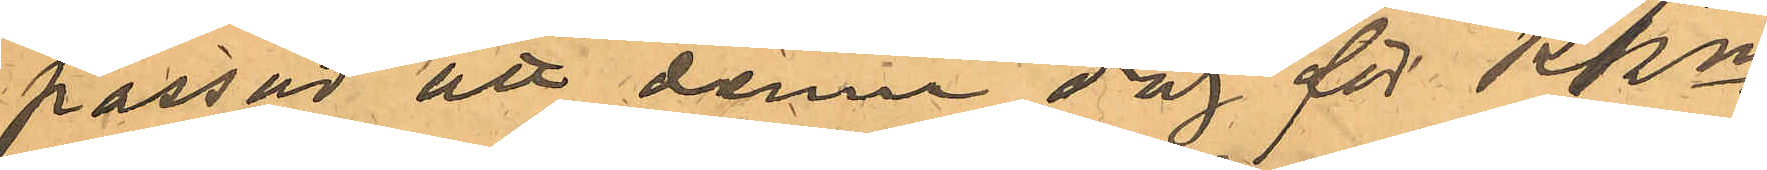passad att denna dag för PKn
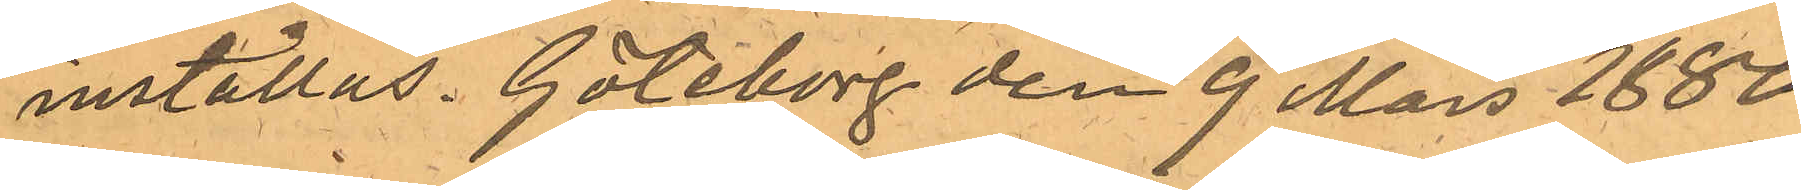inställas. Göteborg den 9 Mars 1880.
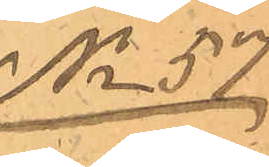No 57.
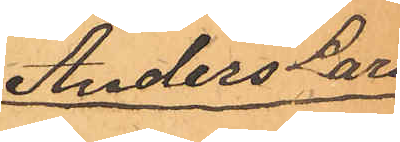Anders Lars
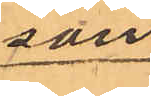son
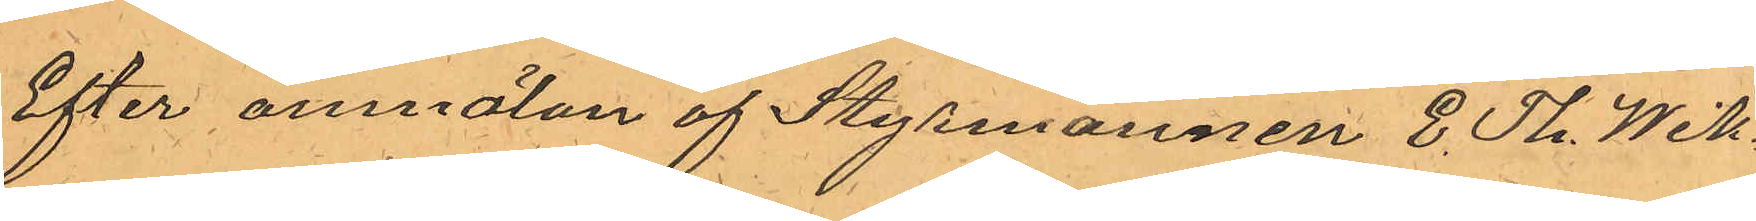Efter anmälan af Styrmannen E. Th. Wik¬
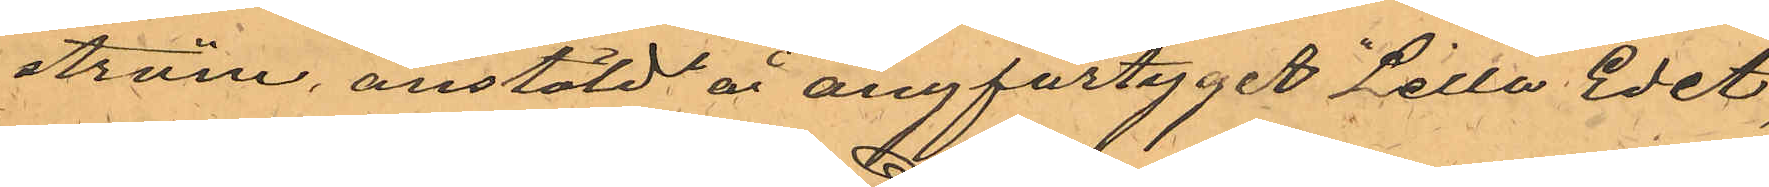ström, anstäld å ångfartyget "Lilla Edet",
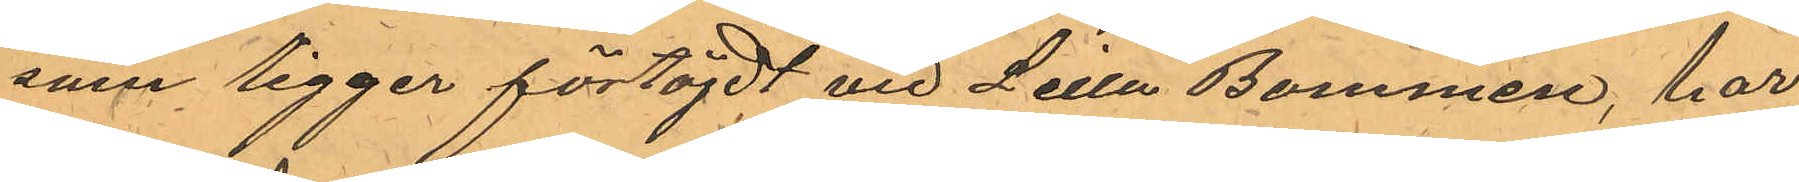som ligger förtöjdt vid Lilla Bommen, har
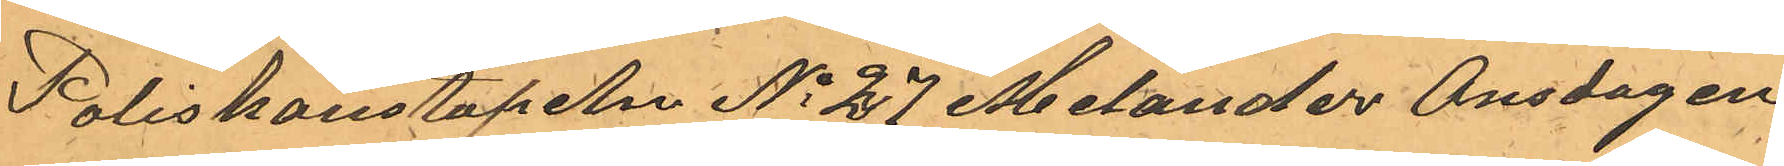Poliskonstapeln No 27 Melander Onsdagen
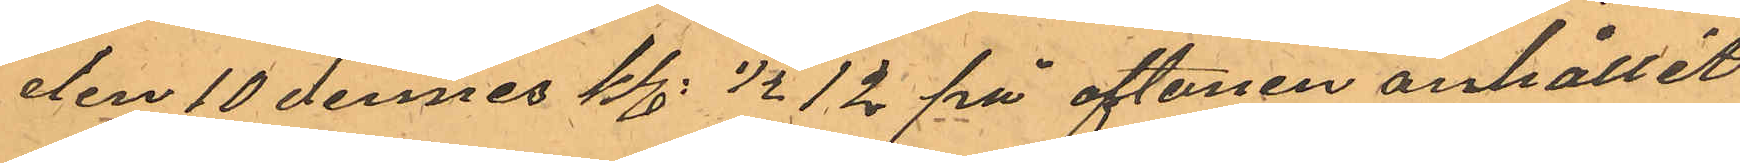den 10 dennes kl. 1/2 12 på aftonen anhållit
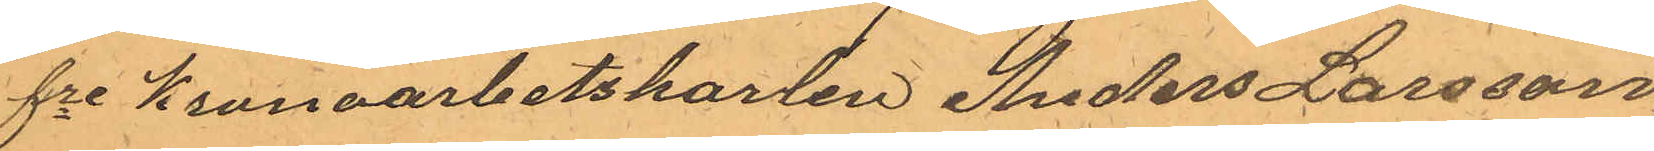fre Kronoarbetskarlen Anders Larsson
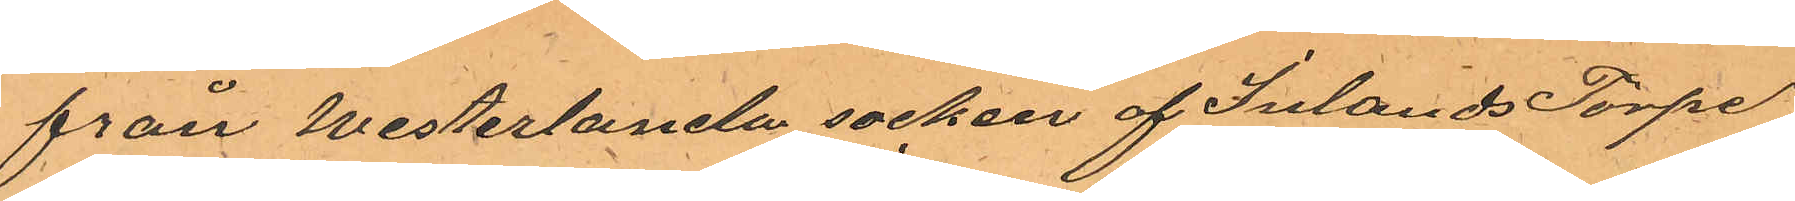från Westerlanda socken af Inlands Torpe
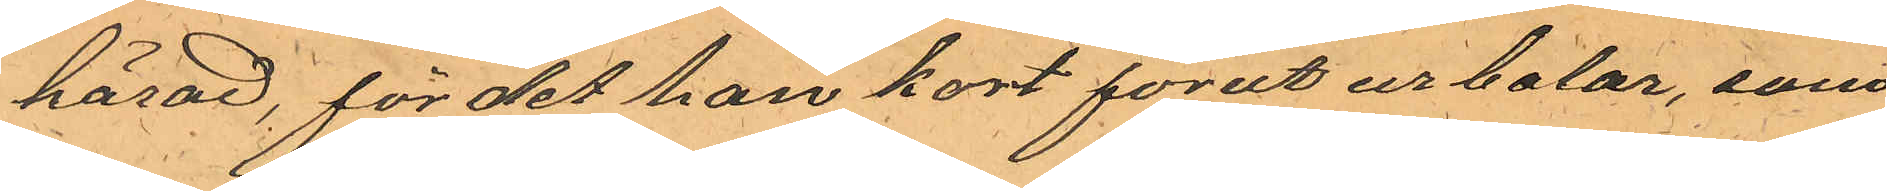härad, för det han kort förut ur balar, som
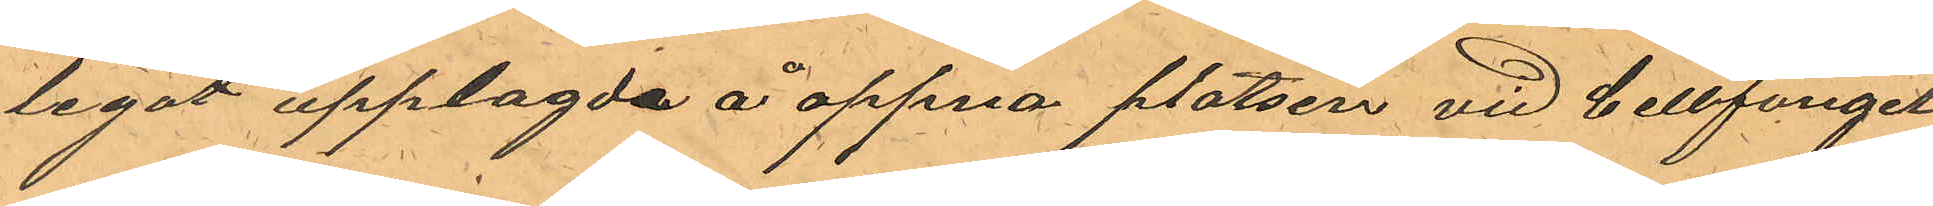legat upplagda å oppna platsen vid Cellfängel¬
